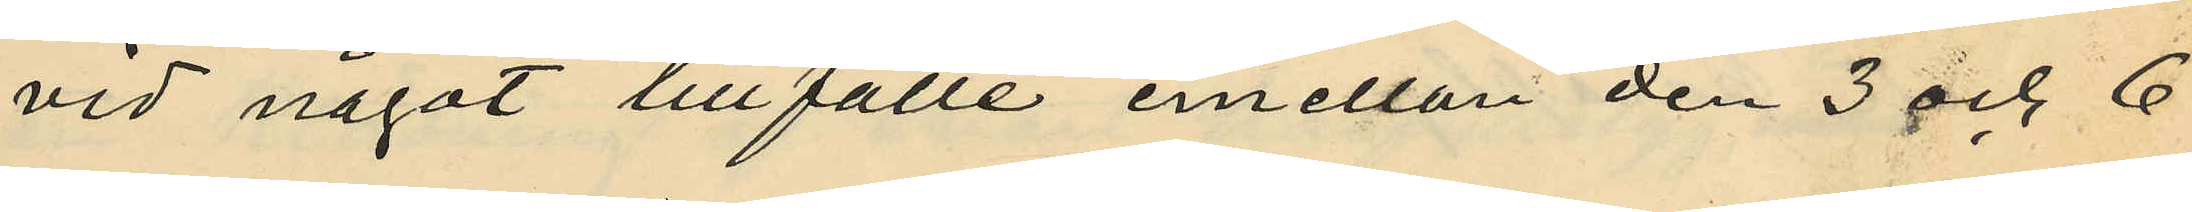vid något tillfälle emellan den 3 och 6
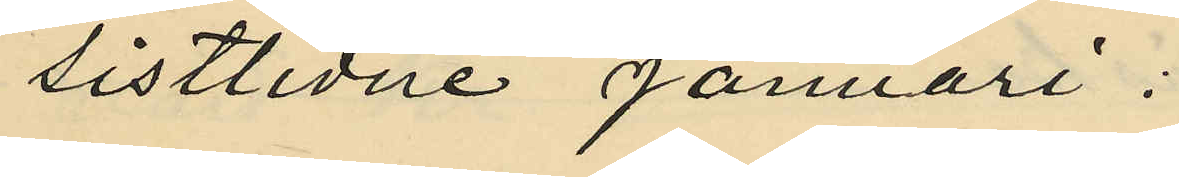sistlidne Januari:
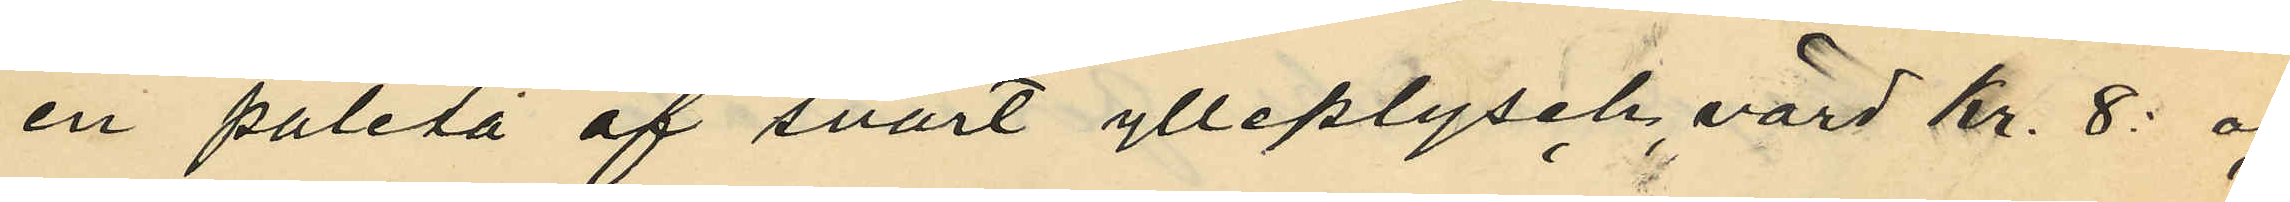en paletå af svart ylleplysch, värd kr. 8: och
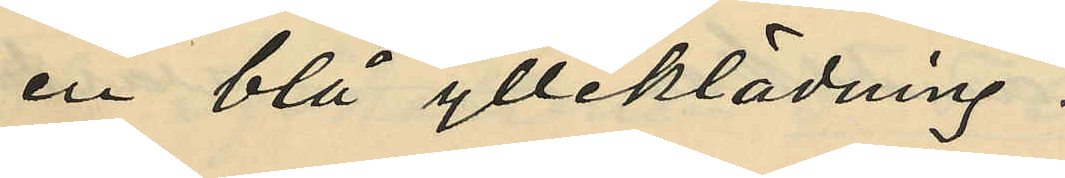en blå ylleklädning
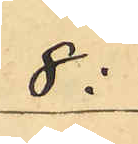8:
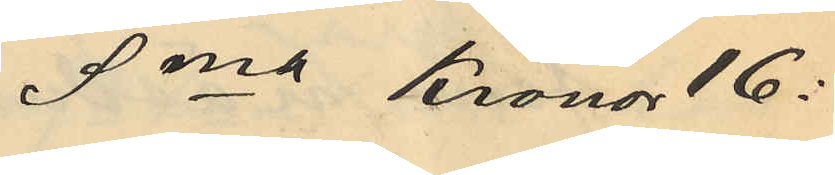Sma Kronor 16:
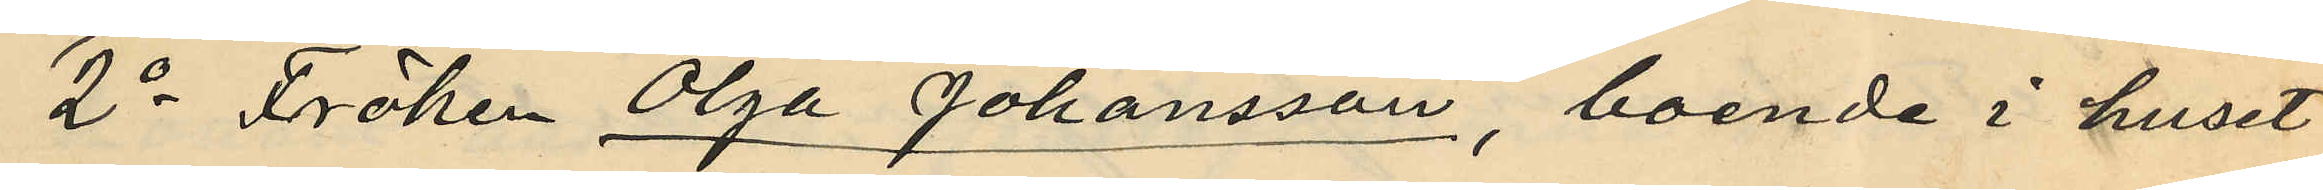2o Fröken Olga Johansson, boende i huset
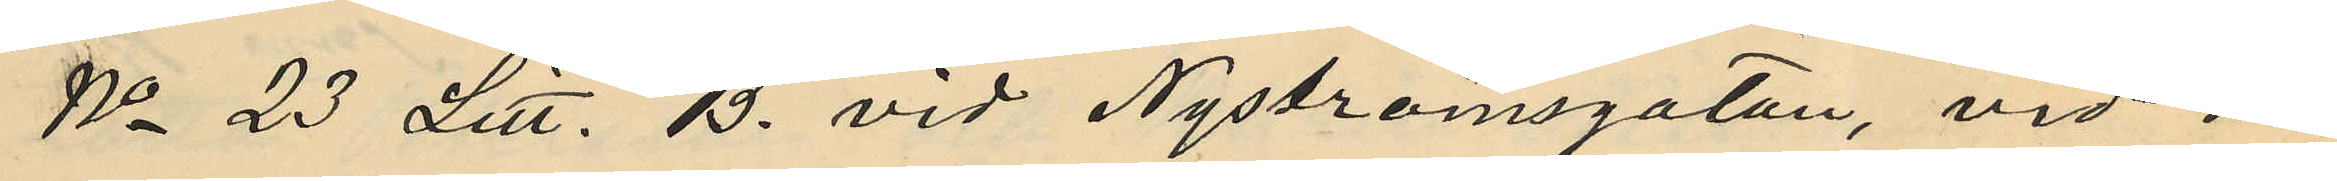No 23 Litt. B. vid Nyströmsgatan, vid nå¬
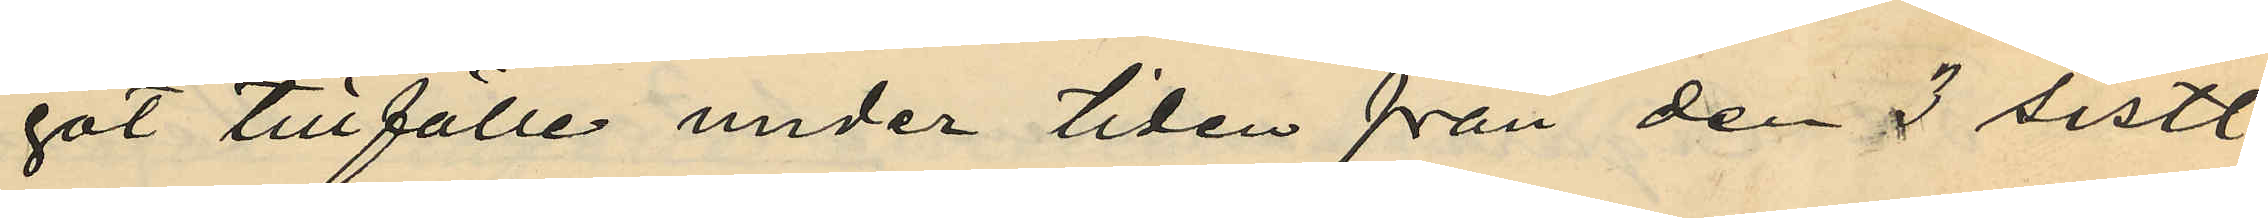got tillfälle under tiden från den 3 sistl.
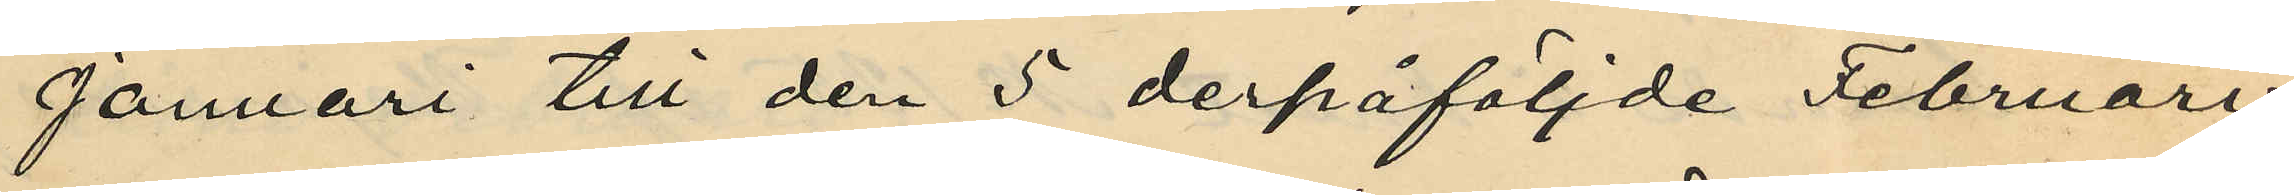Januari till den 5 derpåföljde Februari:
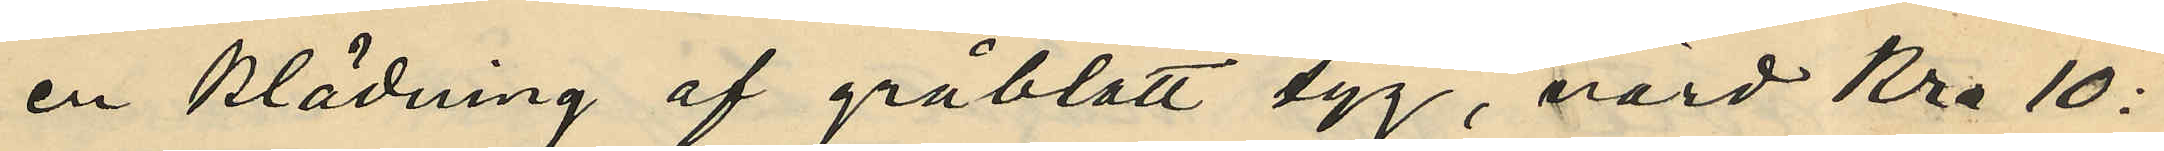en klädning af gråblått tyg, värd Kr. 10:
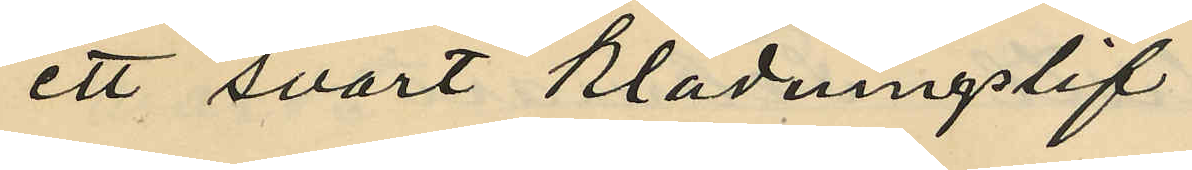ett svart klädningslif
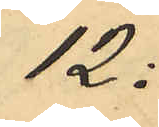12:
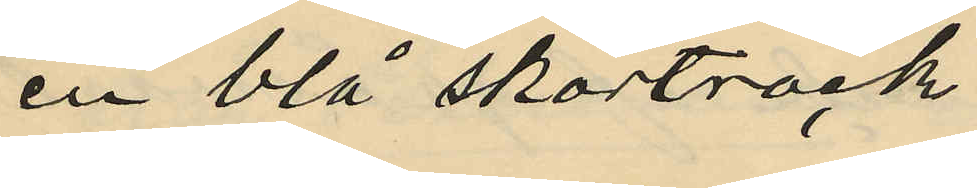en blå skörtrock
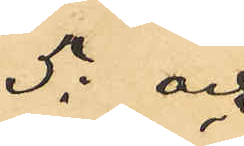5: och
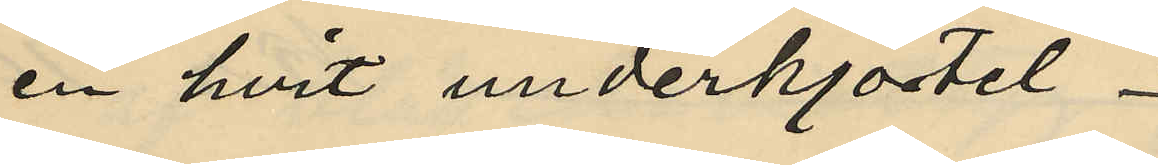en hvit underkjortel
